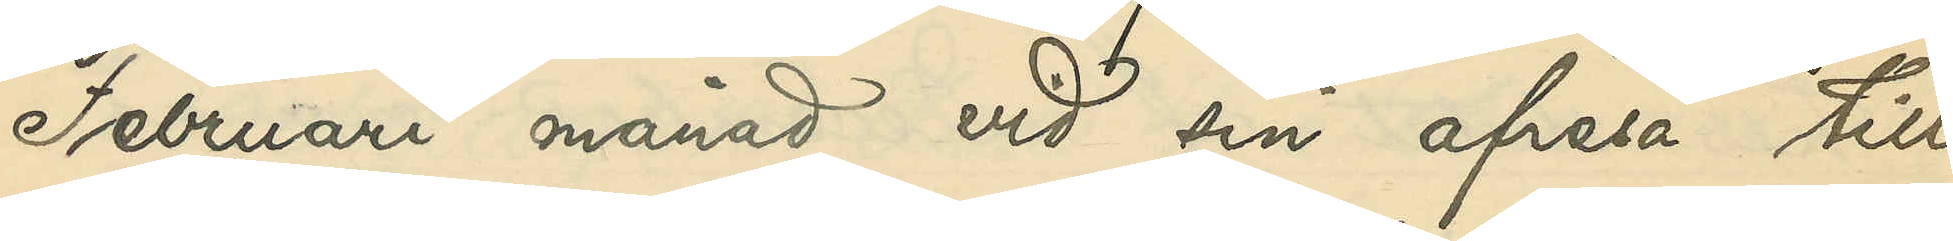Februari månad vid sin afresa till
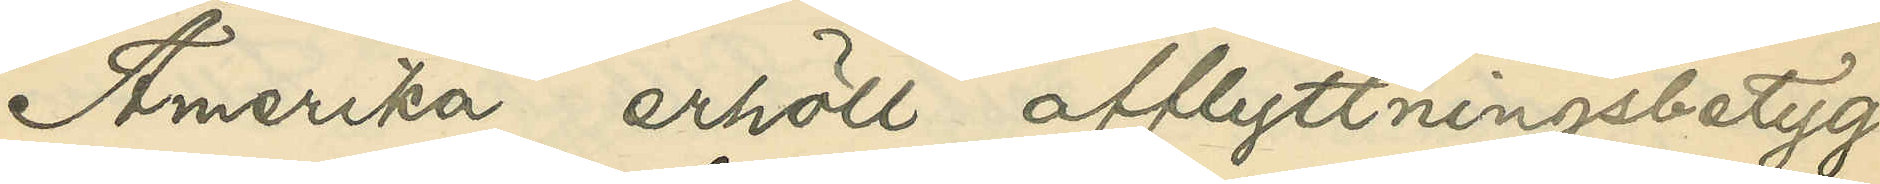Amerika erhöll afflyttningsbetyg.
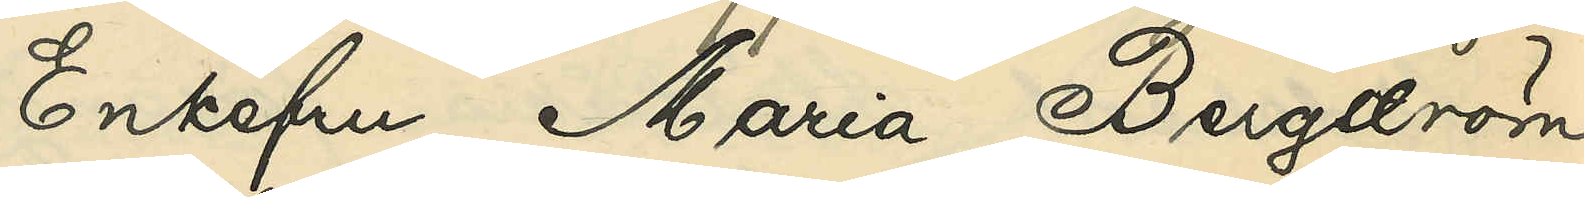Enkefru Maria Bergström,
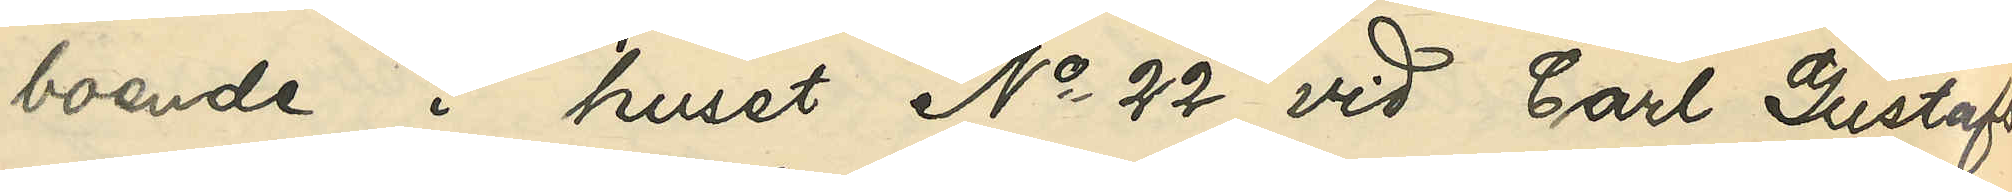boende i huset No 22 vid Carl Gustafs¬
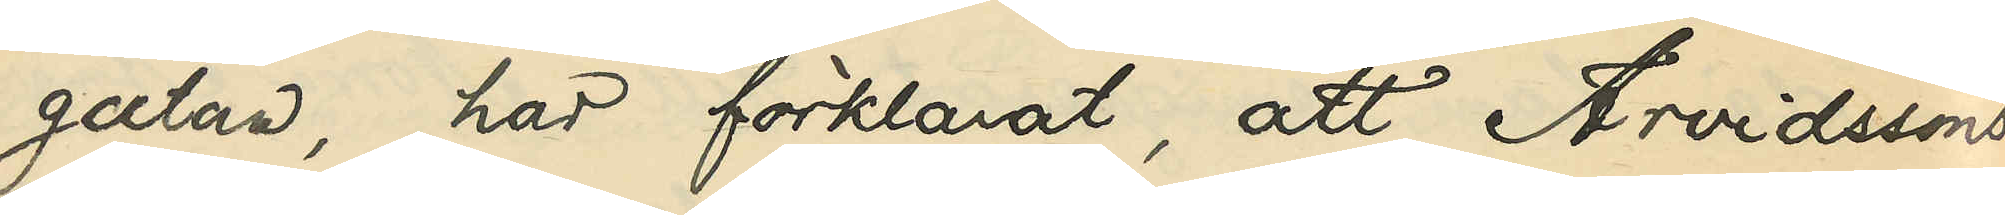gatan, har förklarat, att Arvidssons
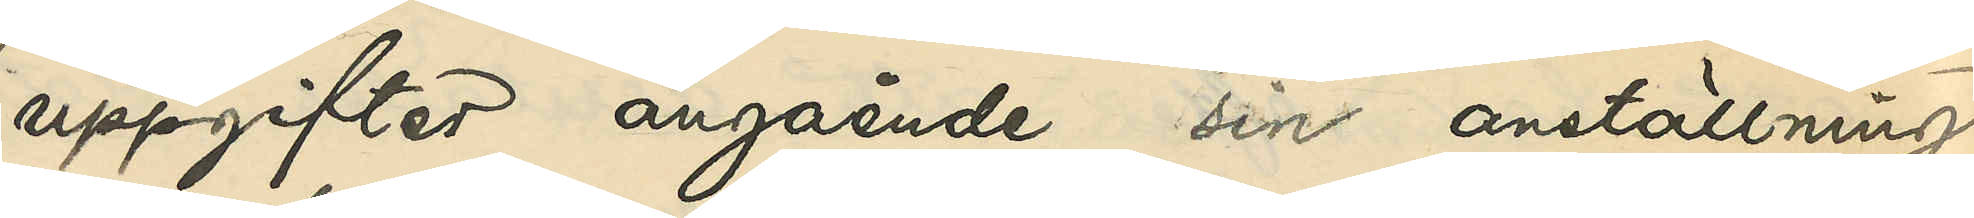uppgifter angående sin anställning
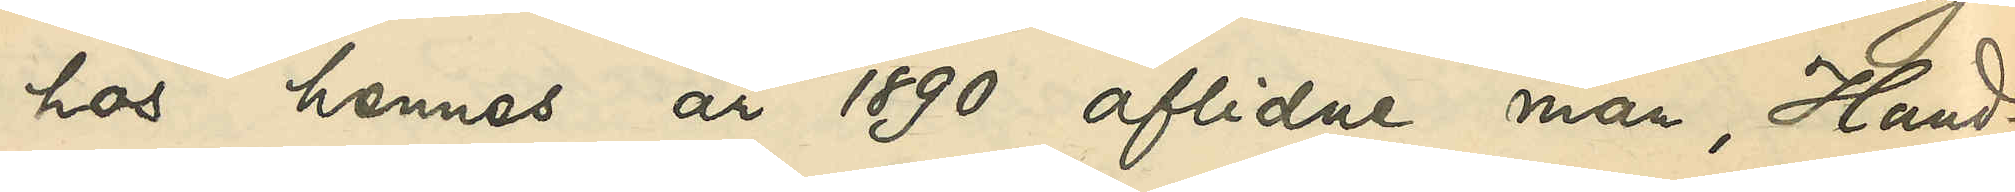hos hennes år 1890 aflidne man, Hand¬
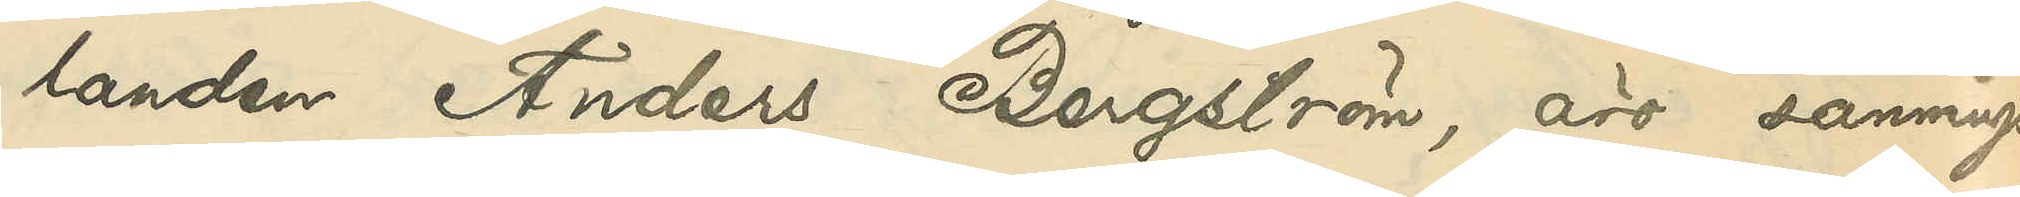landen Anders Bergström, äro sannings¬
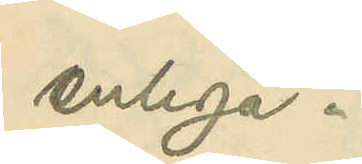enliga.
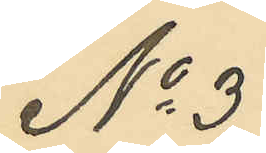No 3
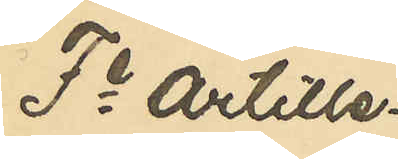Fe Artille¬
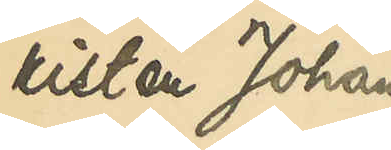risten Johan
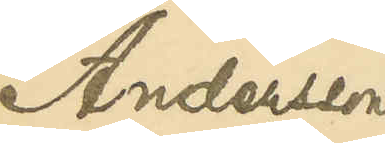Andersson
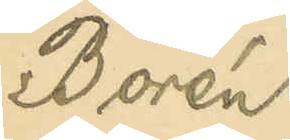Borén
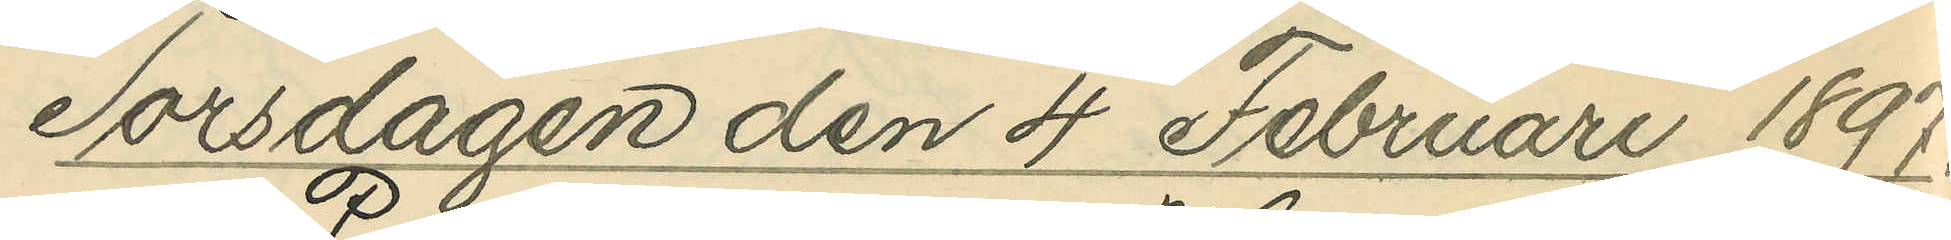Torsdagen den 4 Februari 1897.
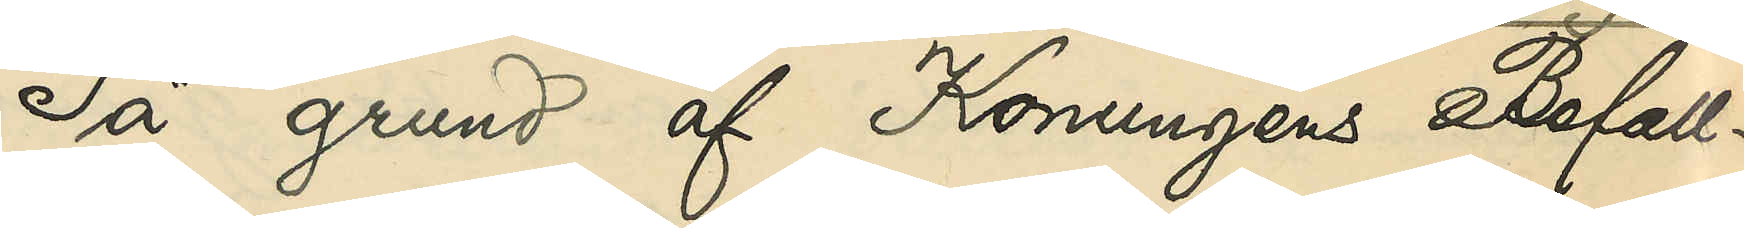På grund af Konungens Befall¬
